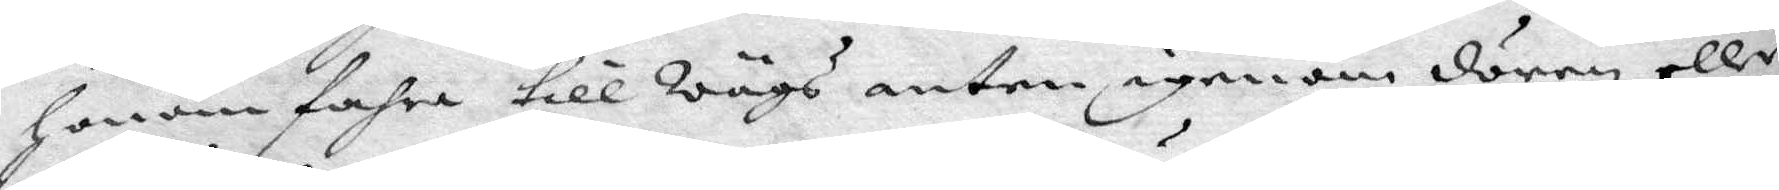Honom fahra till Wägs anten igenom dören eller
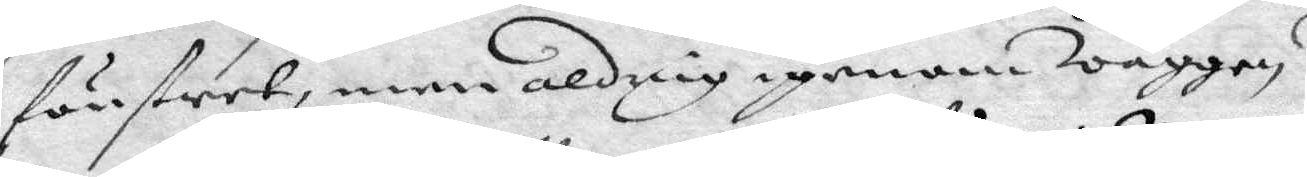fönstret, men aldrig igenom wäggen.
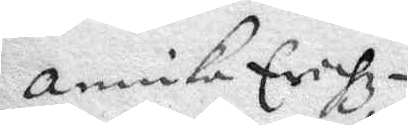Annika Erichz¬
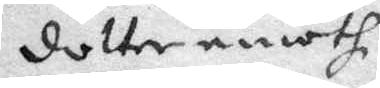dotter emoth
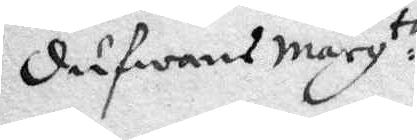Dufwans Marg:ta
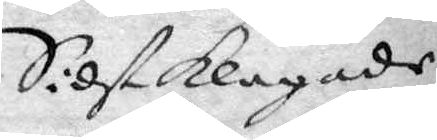Sidst klagade
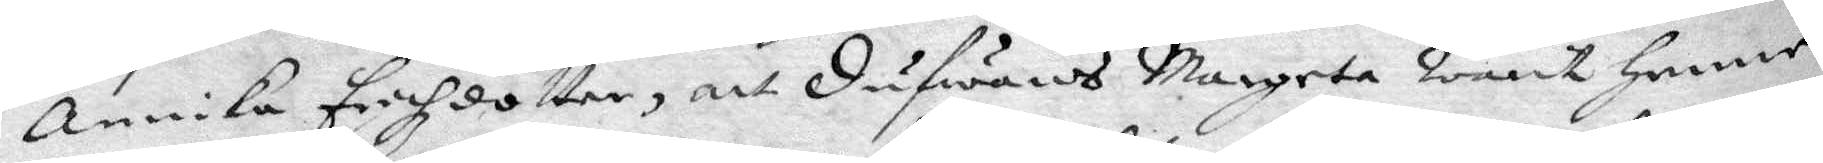Annika Erichzdotter, att Dufwans Margeta warit henne
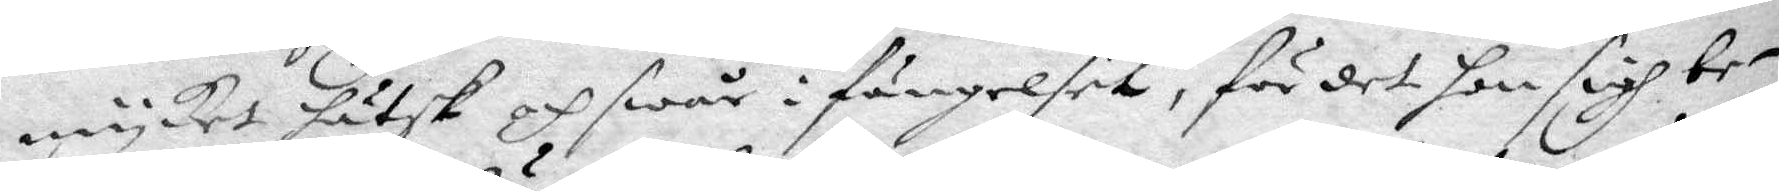mycket hätsk och swår i fängelset, för det hon sigh be¬
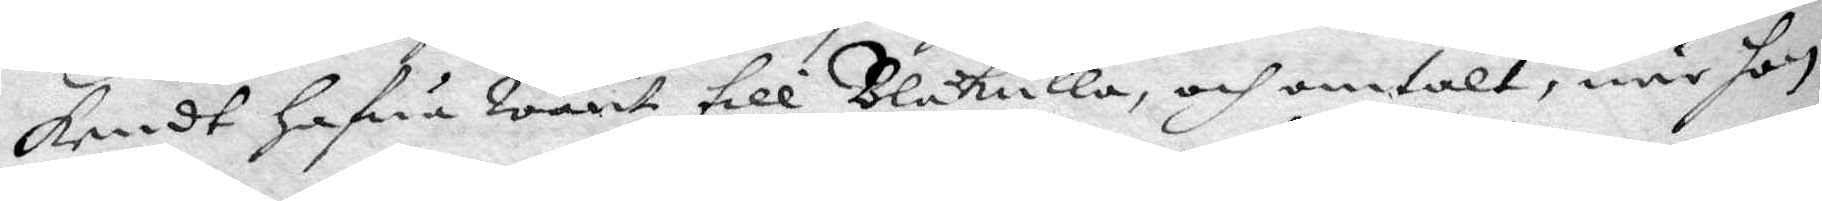kendt hafwa warit till Blåkulla, och omtalt, när hon
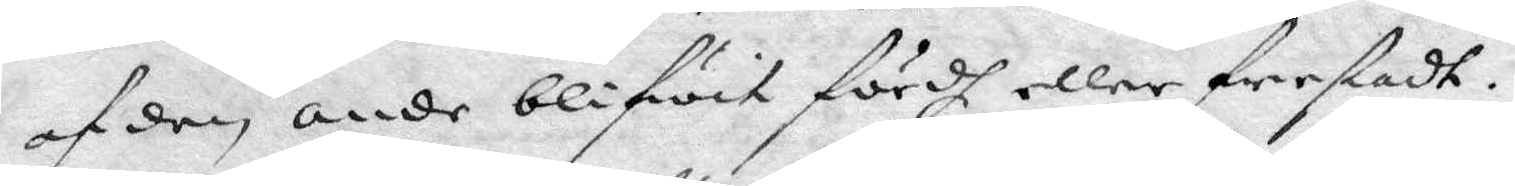af den onde blifwit fördh eller frestadt.
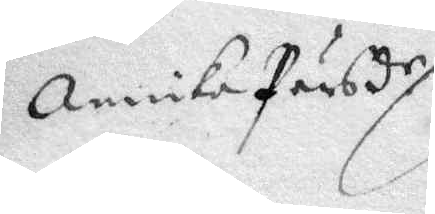Annika Pärsd.r
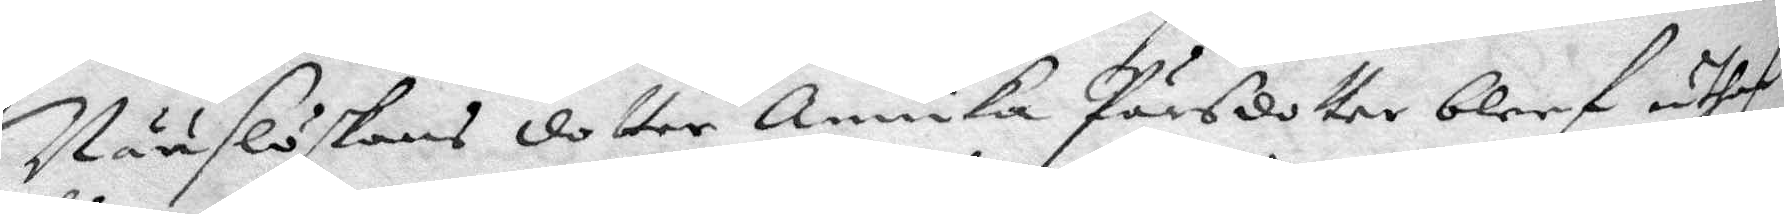Nääslöskans dotter Annika Pärsdotter bleef uthaf
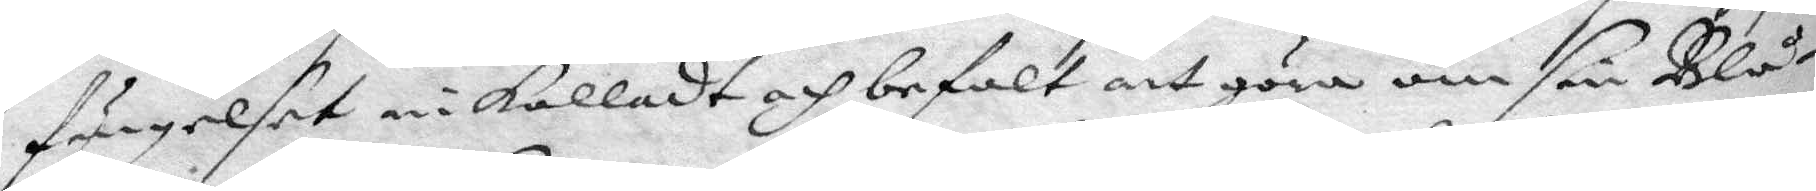fängelset inkalladt och befalt att göra om sin Blå¬
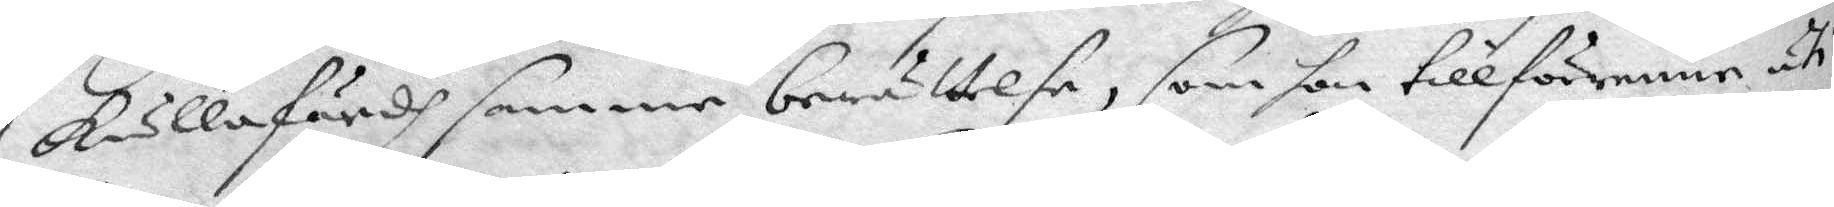kullafärdh samme berättelse, som hon tillförene uti
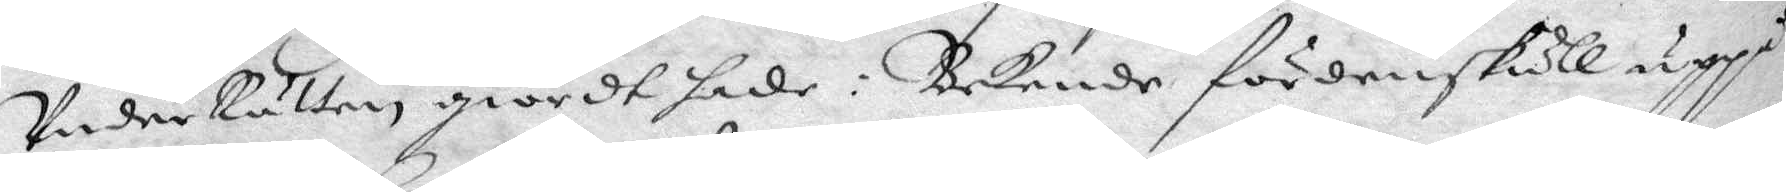Under Rätten giordt hade. Bekende fördenskull uppå
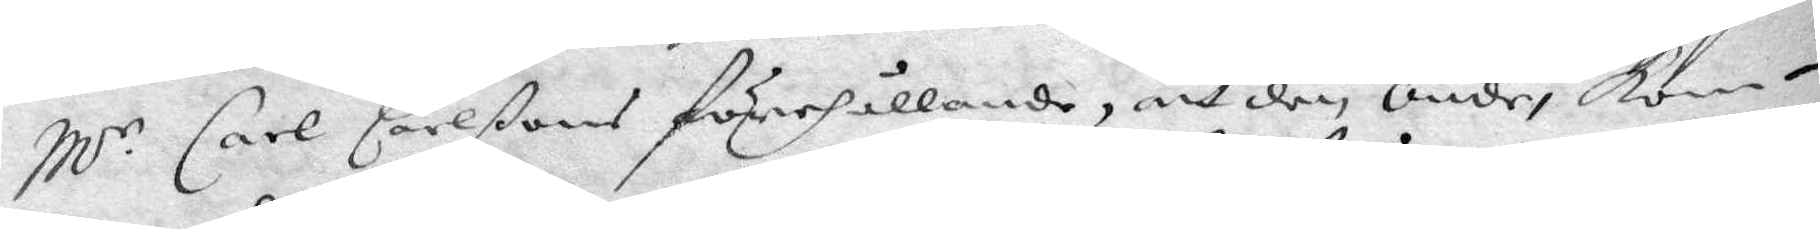M.r Carl Carlßons förehållande, att den Onde, kom¬
